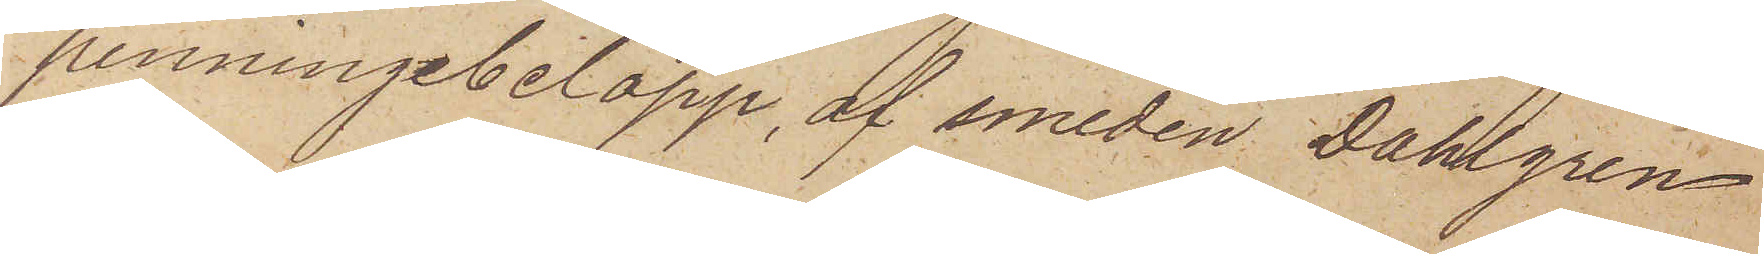penningebelopp, af smeden Dahlgren
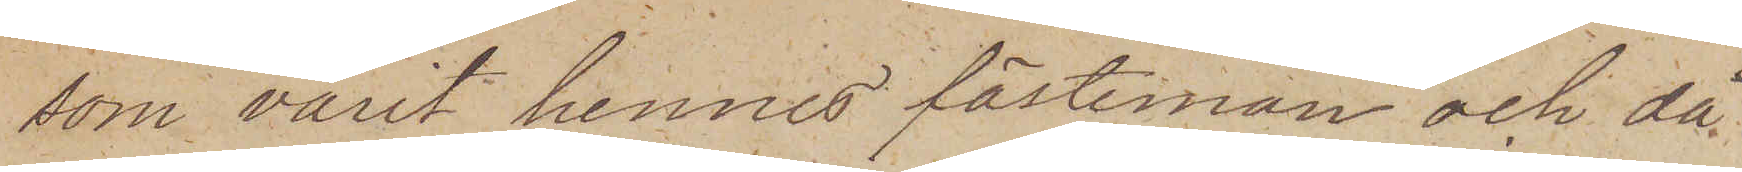som varit hennes fästeman och då¬
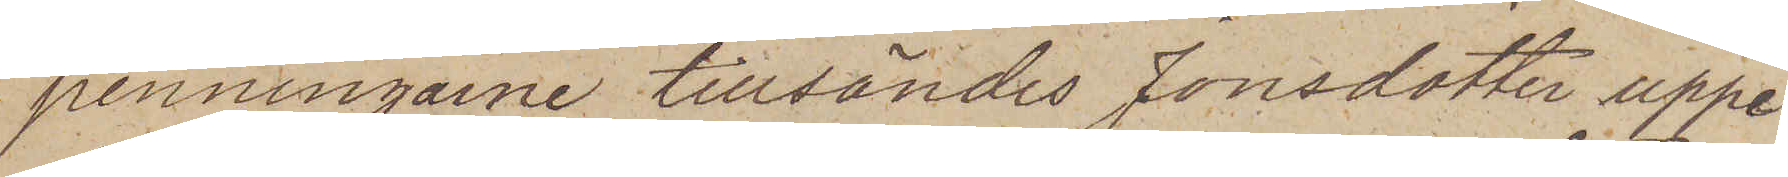penningarne tillsändes Jonsdotter uppe¬
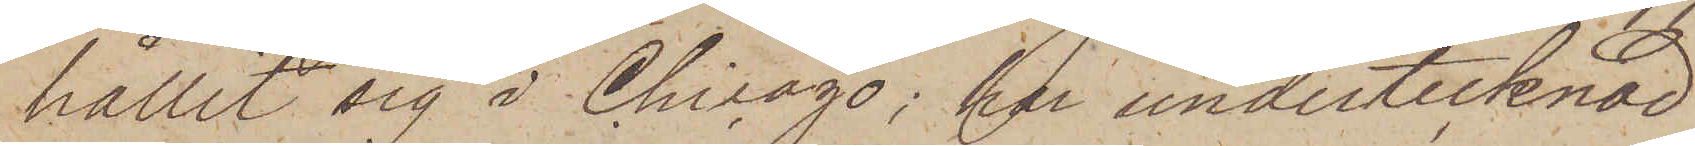håller sig i Chicago; har undertecknad
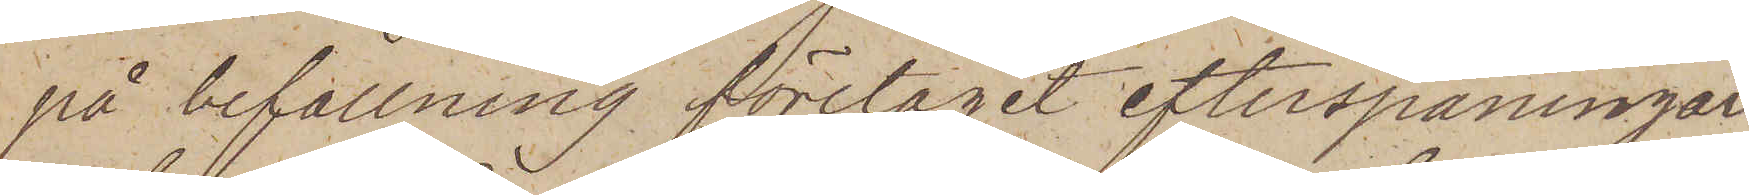på befallning företagit efterspaningar
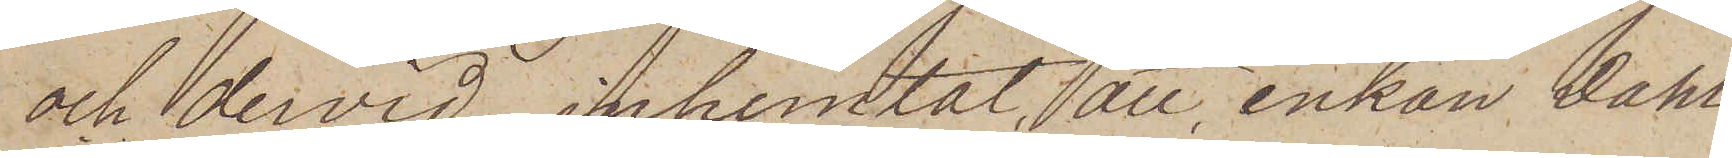och dervid inhemtat, att enkan Dahl¬
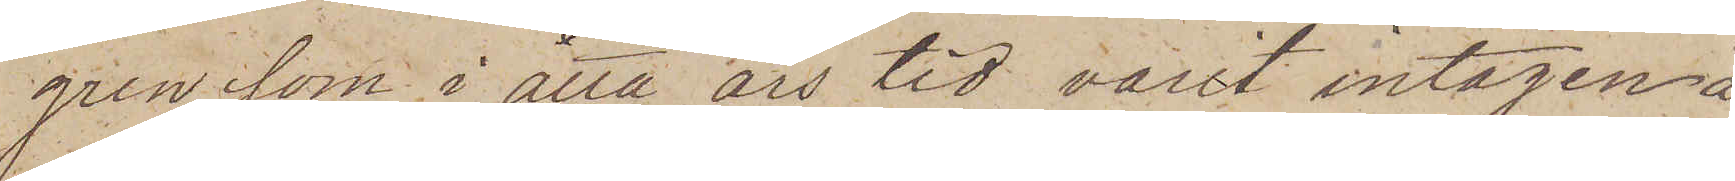gren, som i åtta års tid varit intagen å
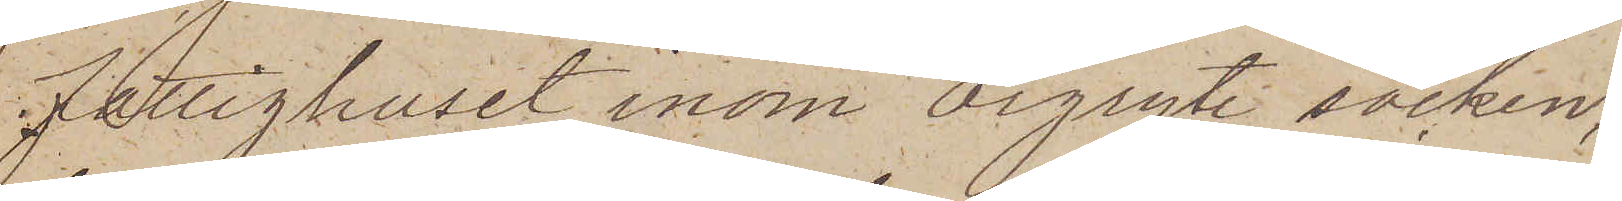Fattighuset inom Örgryte socken;
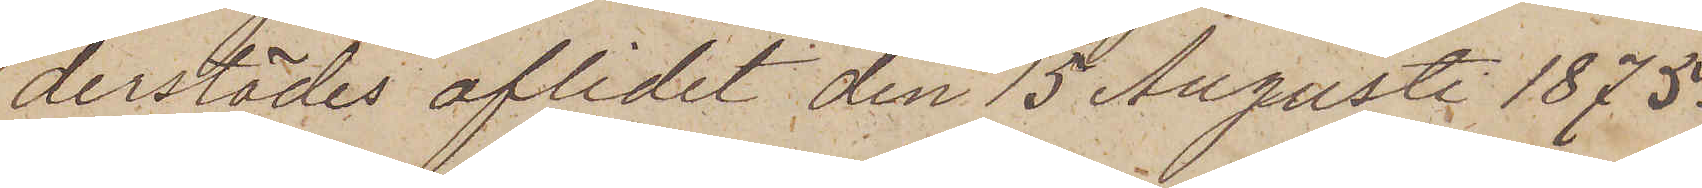derstädes aflidit den 15 Augusti 1875.
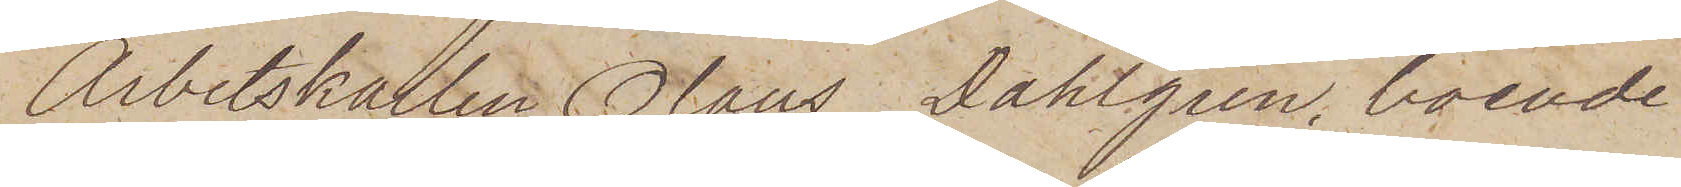Arbetskarlen Olaus Dahlgren, boende
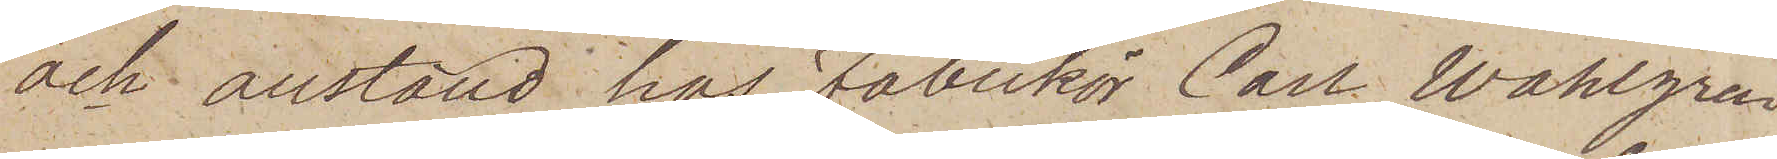och anställd hos fabrikör Carl Wahlgren
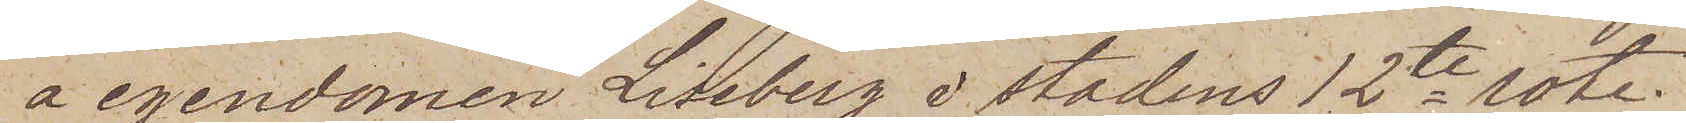å egendomen Liseberg i stadens 12te rote;
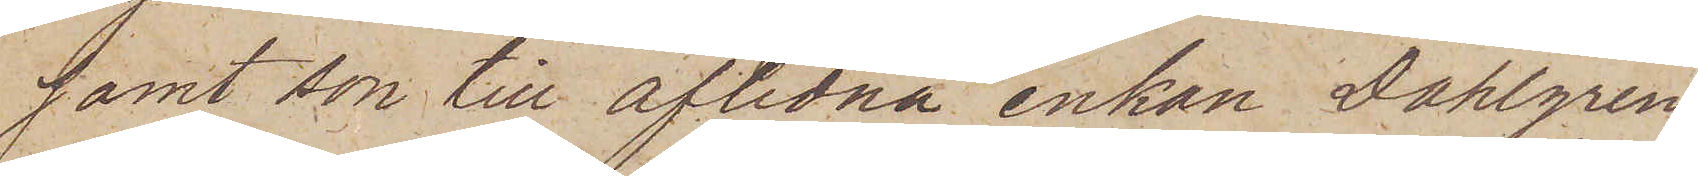samt son till aflidna enkan Dahlgren
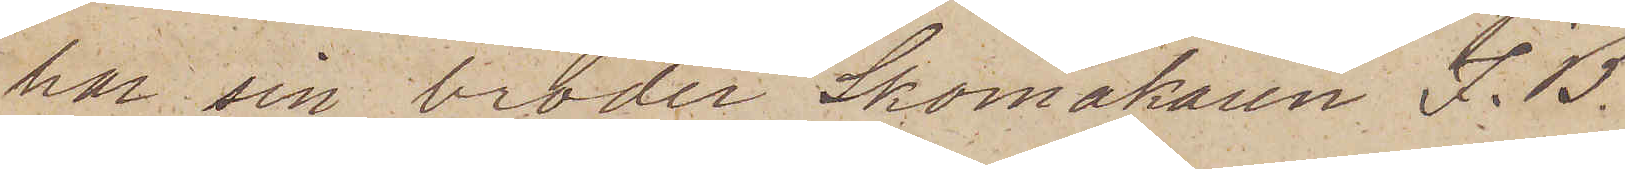har sin broder Skomakaren J. B.
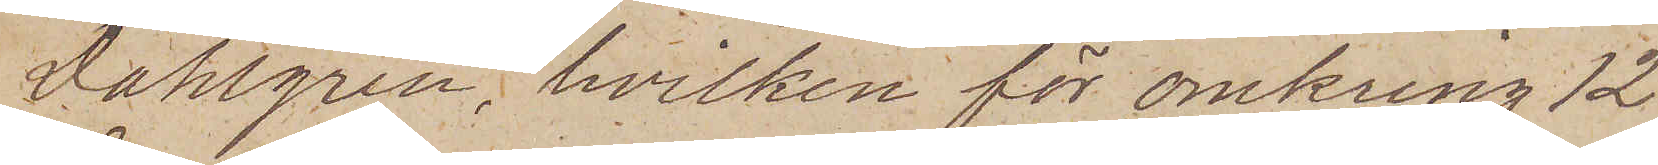Dahlgren, hvilken för omkring 12
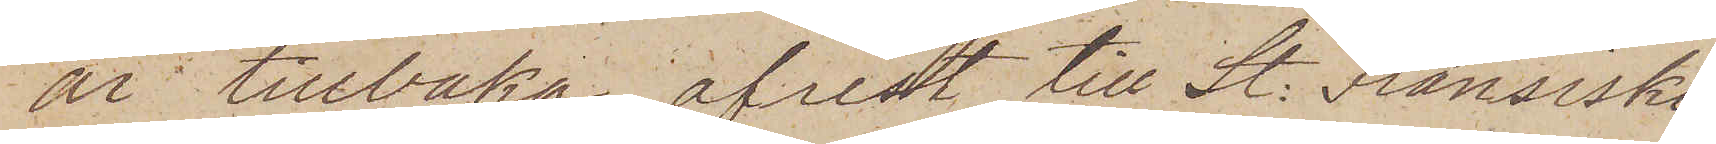år tillbaka afrest till St: Fransisko
